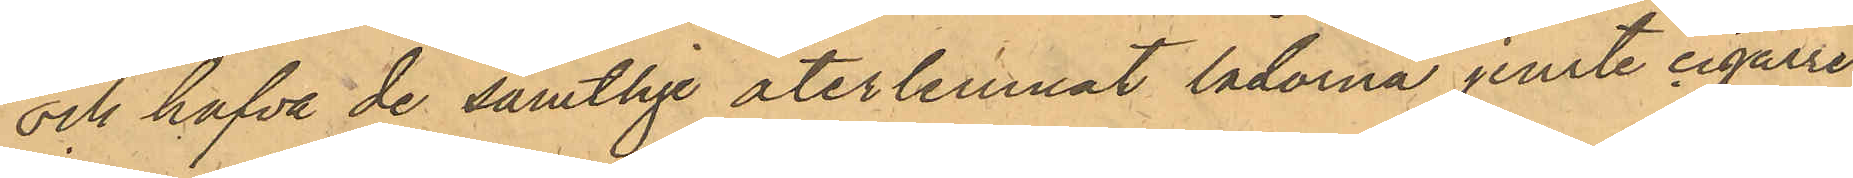och hafva de samtlige återlemnat lådorna jemte cigarrer
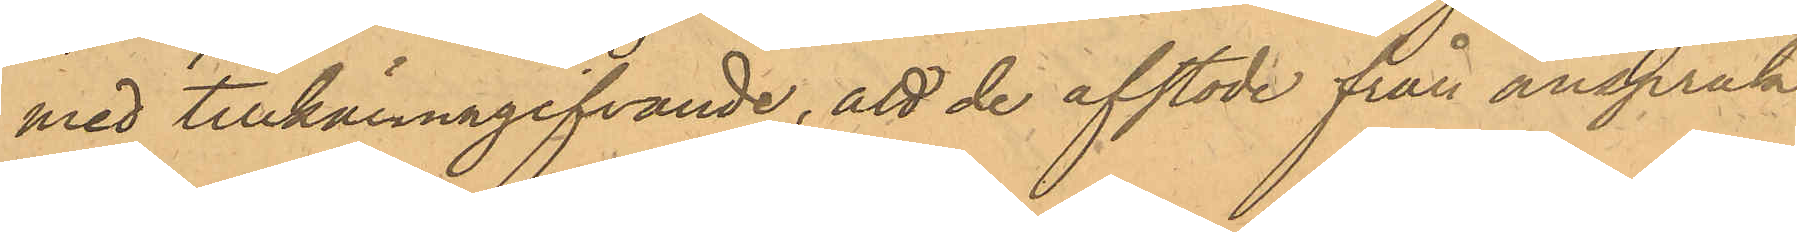med tillkännagifvande, att de afstode från anspråk
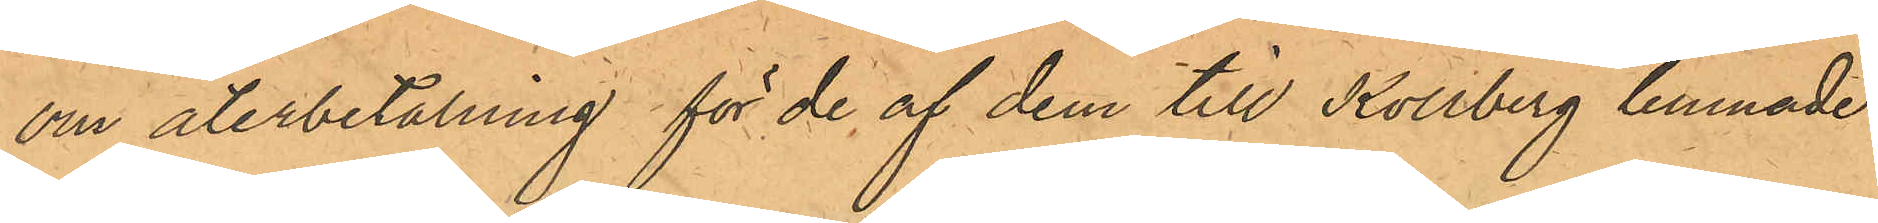om återbetalning för de af dem till Kollberg lemnade
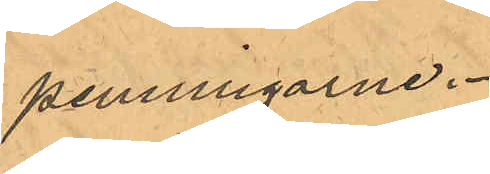penningarne.
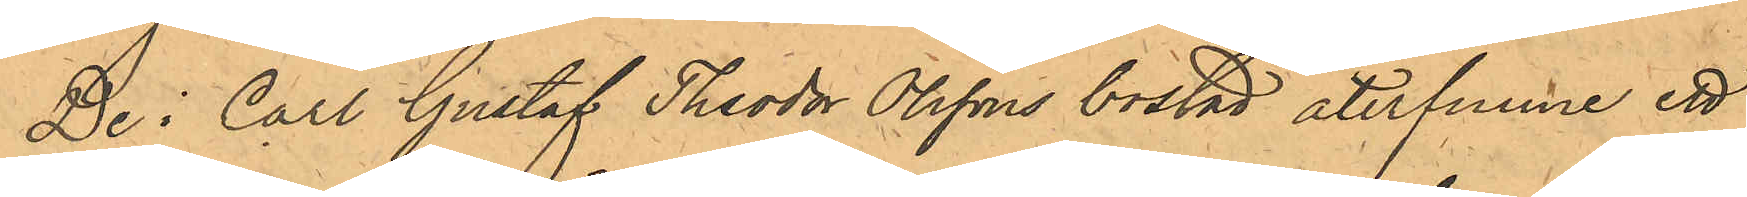De i Carl Gustaf Theodor Olssons bostad återfunne ett
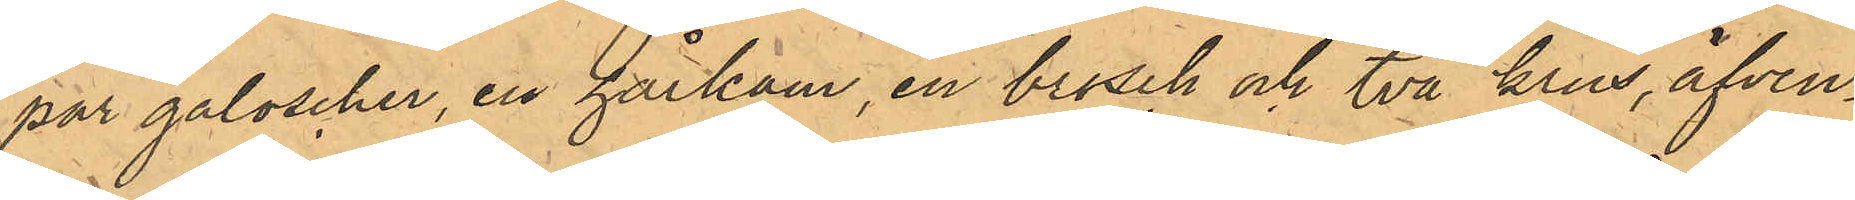par galoscher, en hårkam, en brosch och två krus, äfven¬
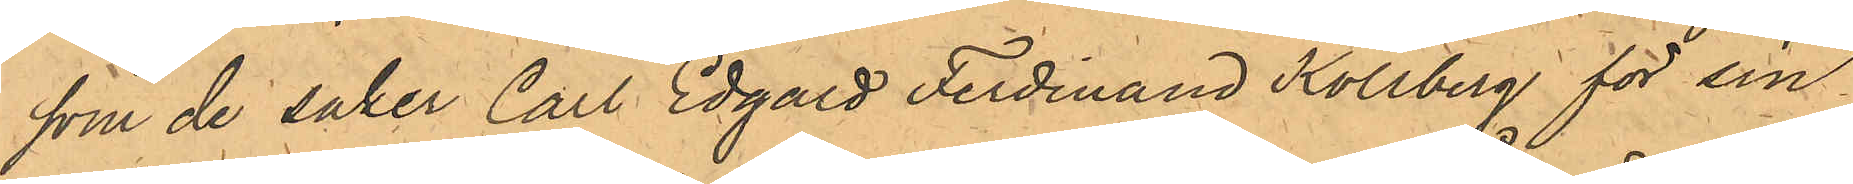som de saker Carl Edgard Ferdinand Kollberg för sin
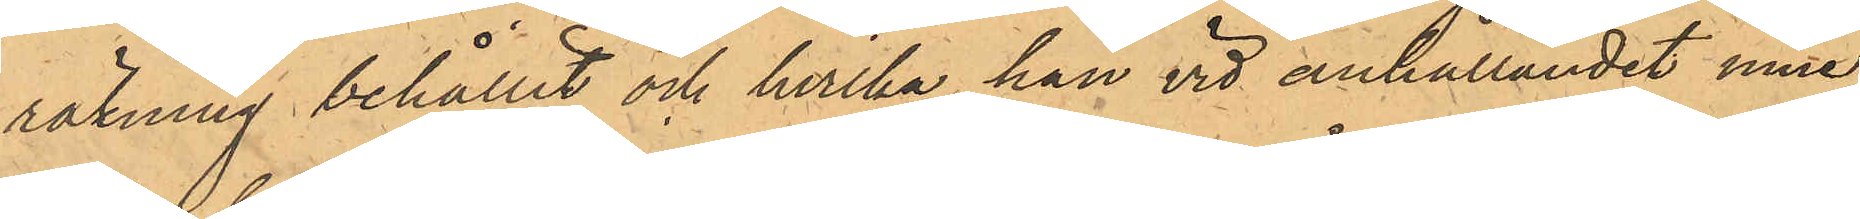räkning behållit och hvilka han vid anhållandet inne¬
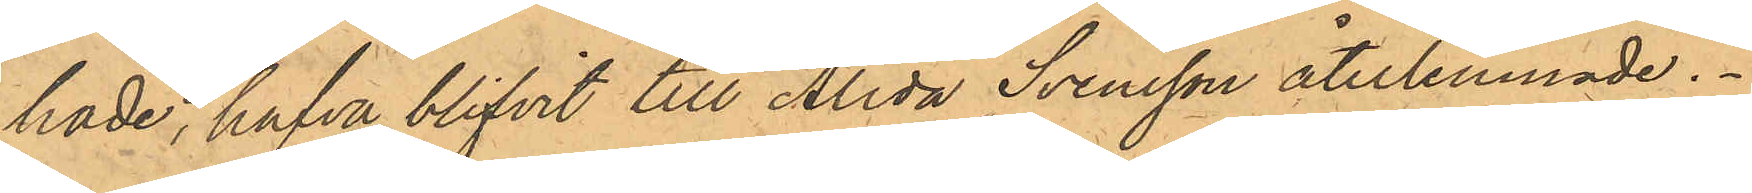hade, hafva blivit till Alida Svensson återlemnade.
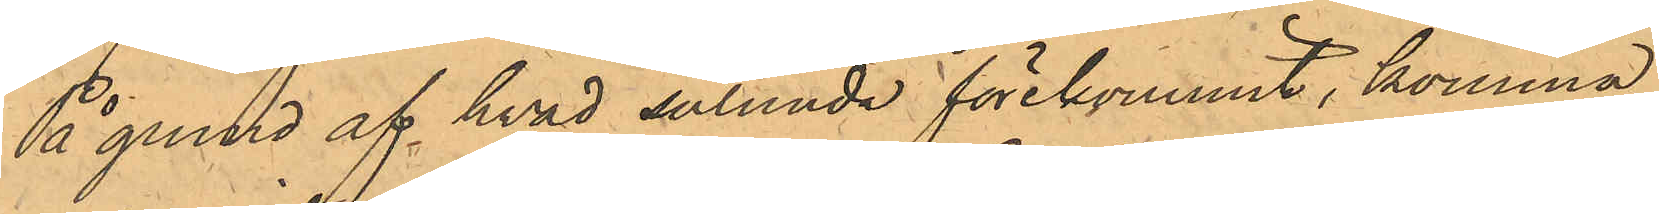På grund af hvad sålunda förekommit, komma
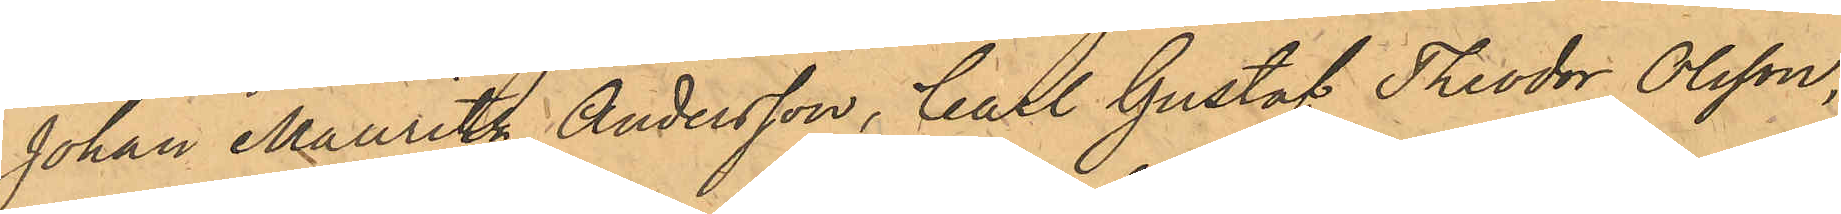Johan Mauritz Andersson, Carl Gustaf Theodor Olsson,
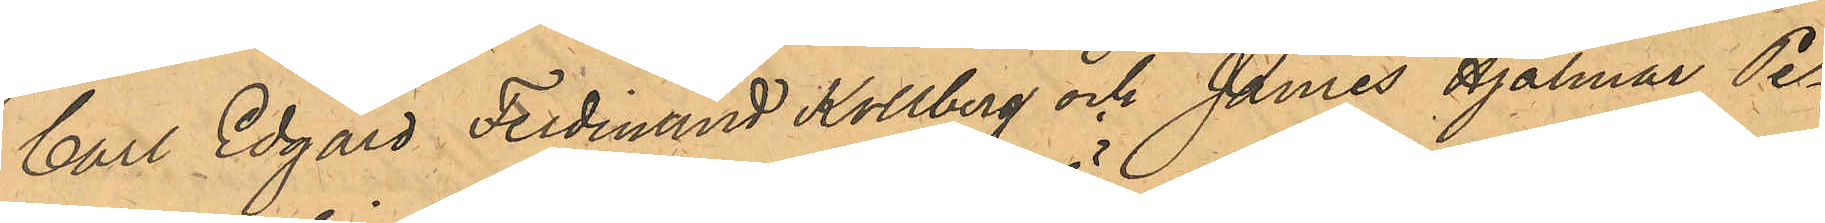Carl Edgard Ferdinand Kollberg och James Hjalmar Pe¬
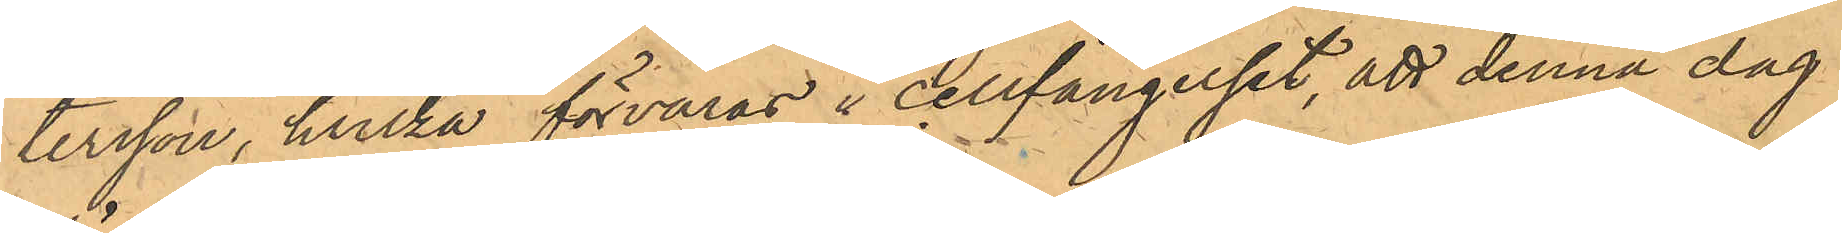tersson, hvilka förvaras i cellfängelset, att denna dag
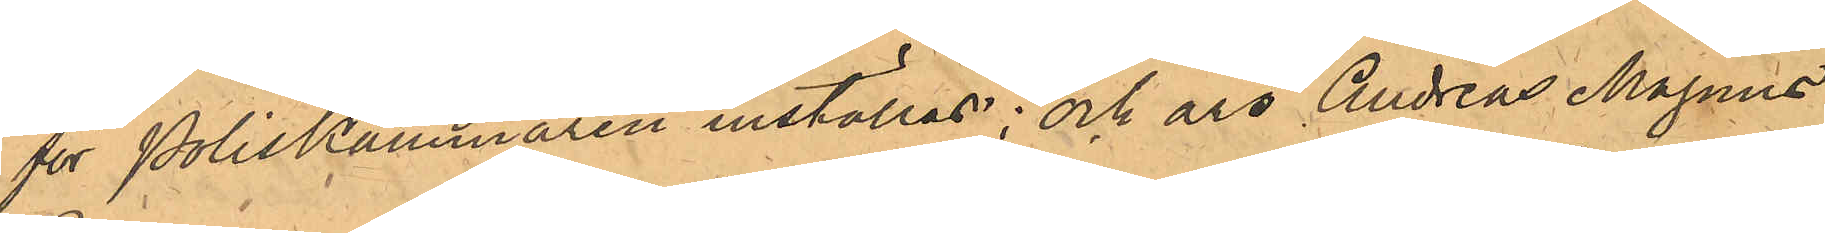för Poliskammaren inställas; och äro Andreas Magnus 
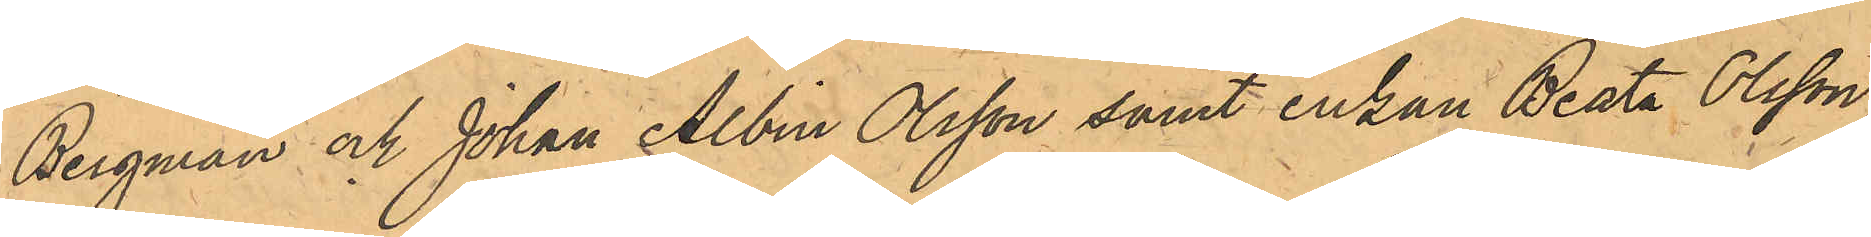Bergman och Johan Albin Olsson samt Enkan Beata Olsson
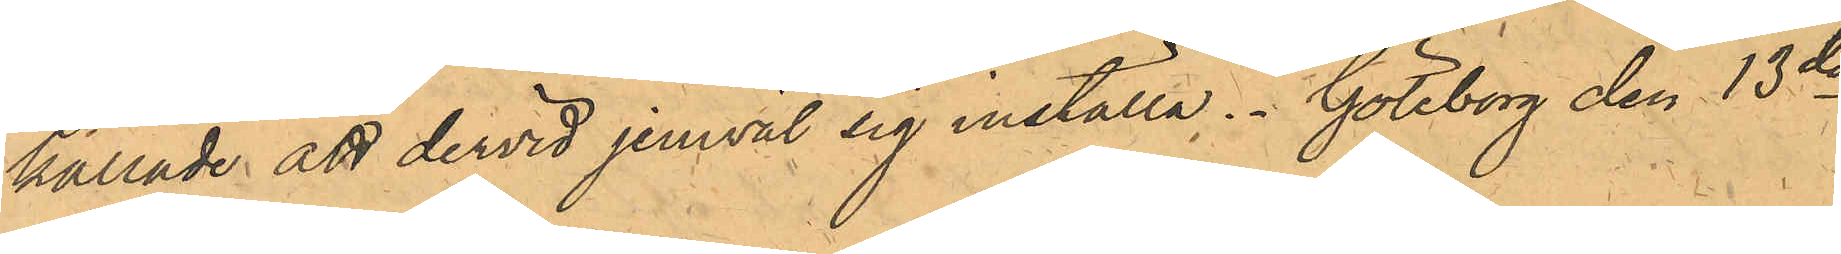kallade att dervid jemväl sig inställa. Göteborg den 13de
